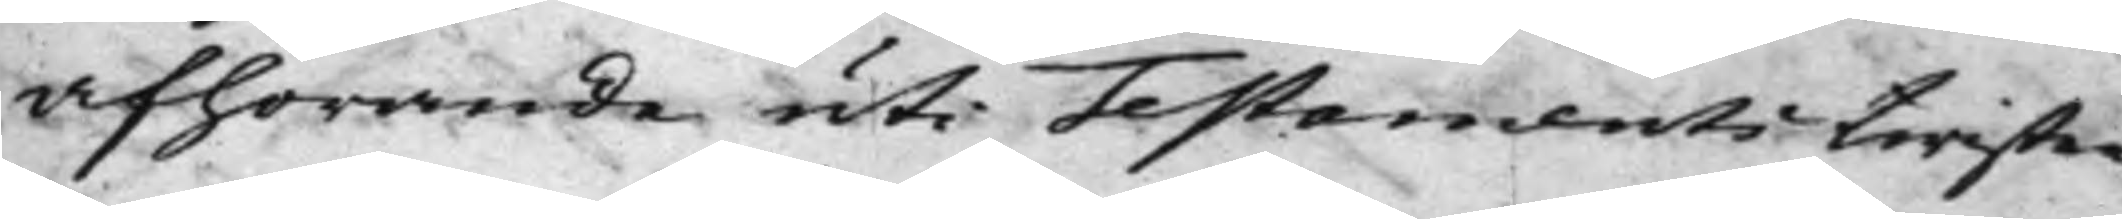afhörande uti Testamentstwisten
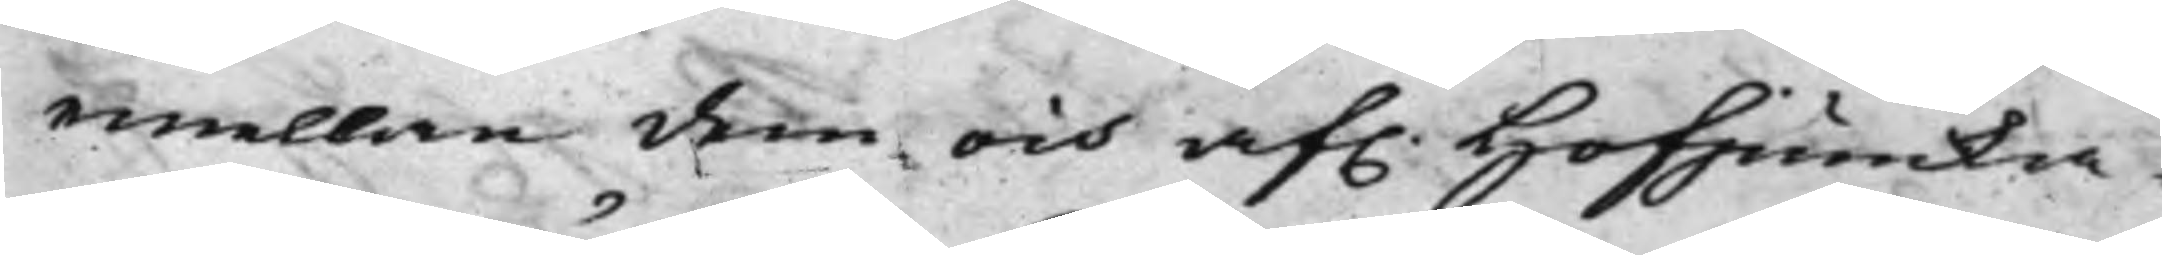emellan dem och af. Hofjuncka¬
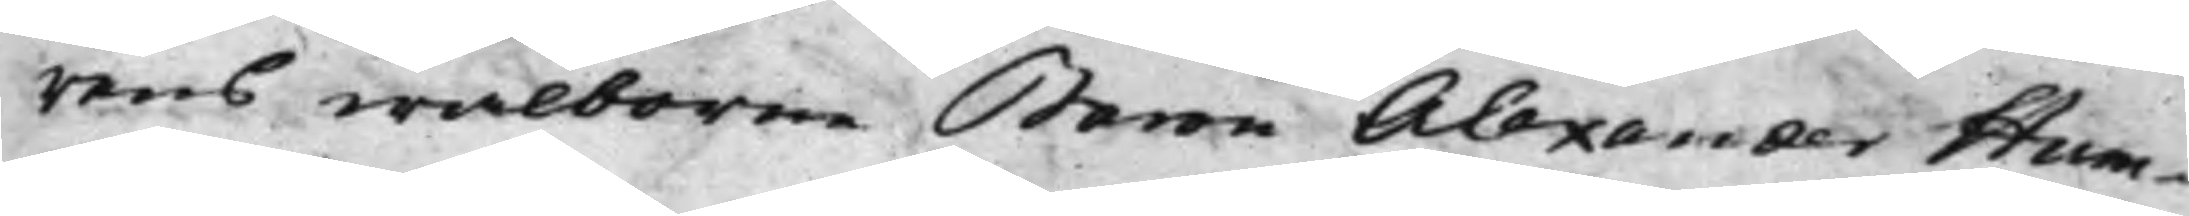rens wälborne Baron Alexander Hum¬
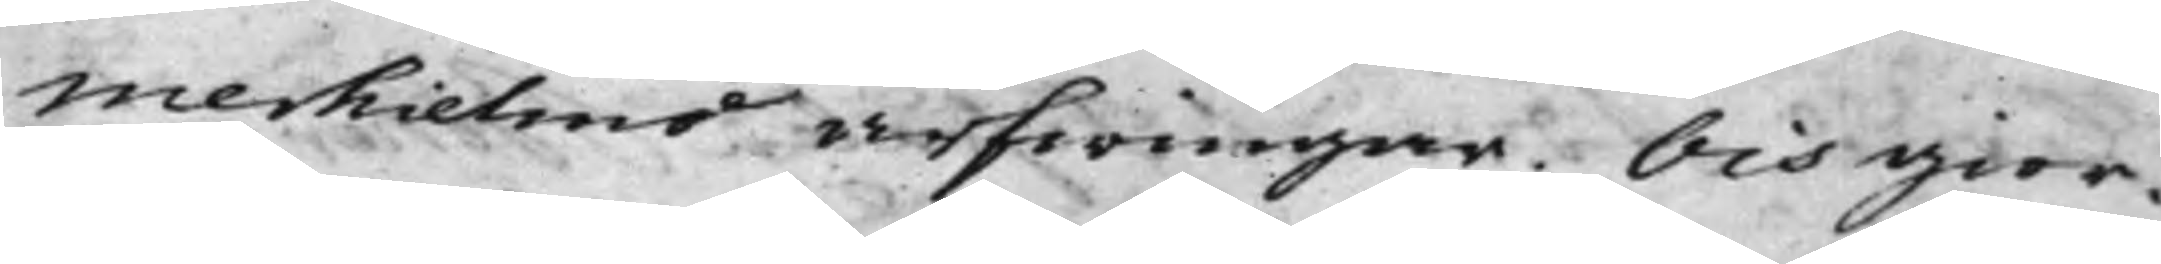merhielms arfwingar. Och gior¬
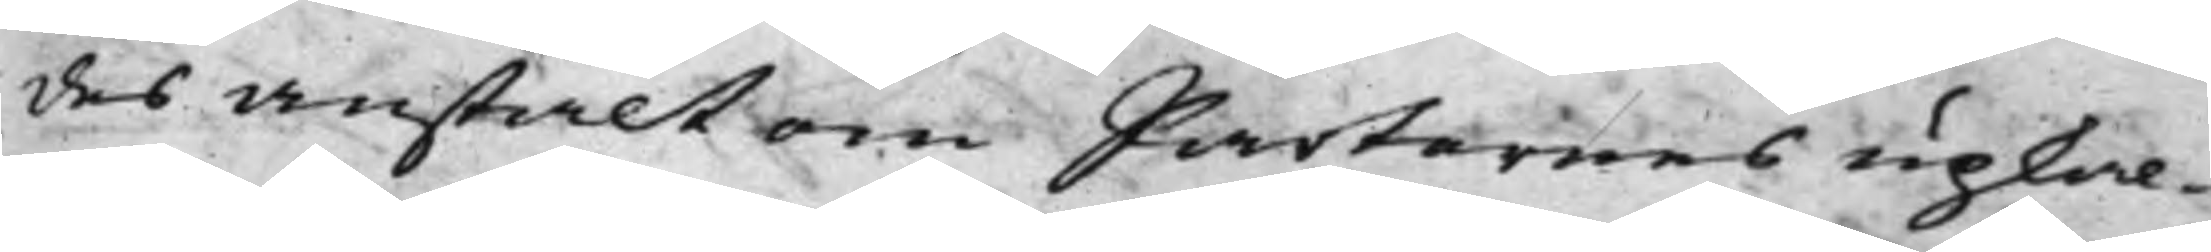des anstalt om Parternes upkal¬
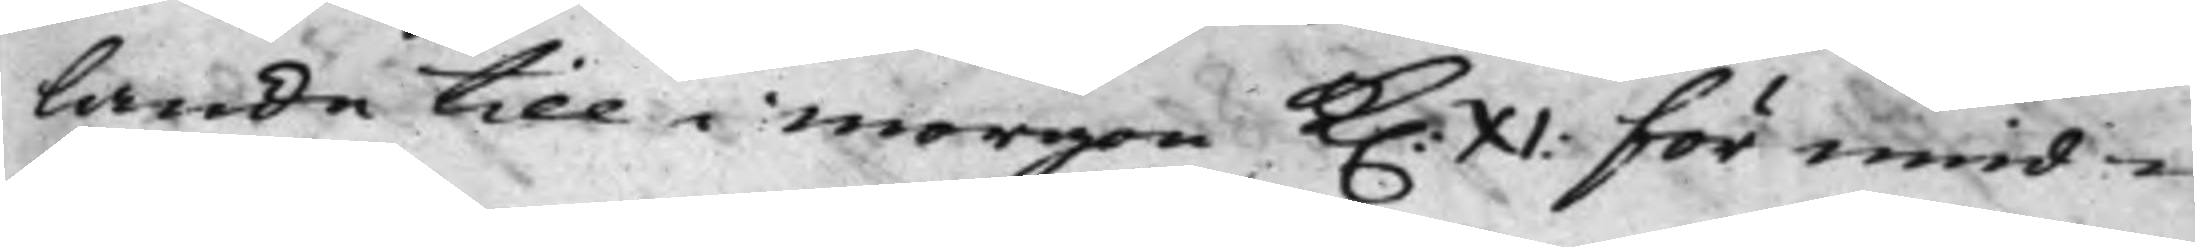lande till i morgon K. XI: för mid¬
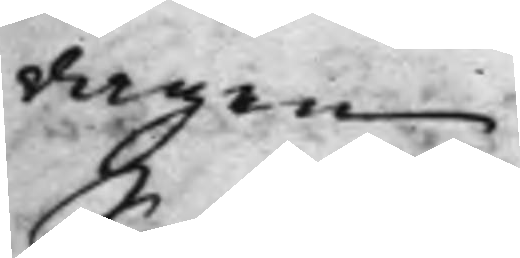dagen.
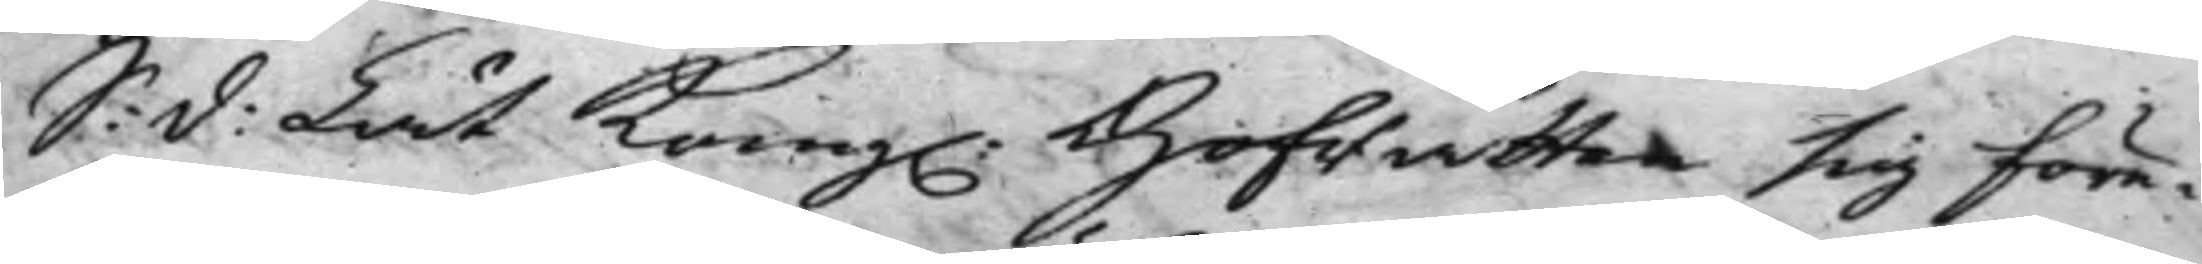S: d: Lät Kong. Hofrätten sig före¬
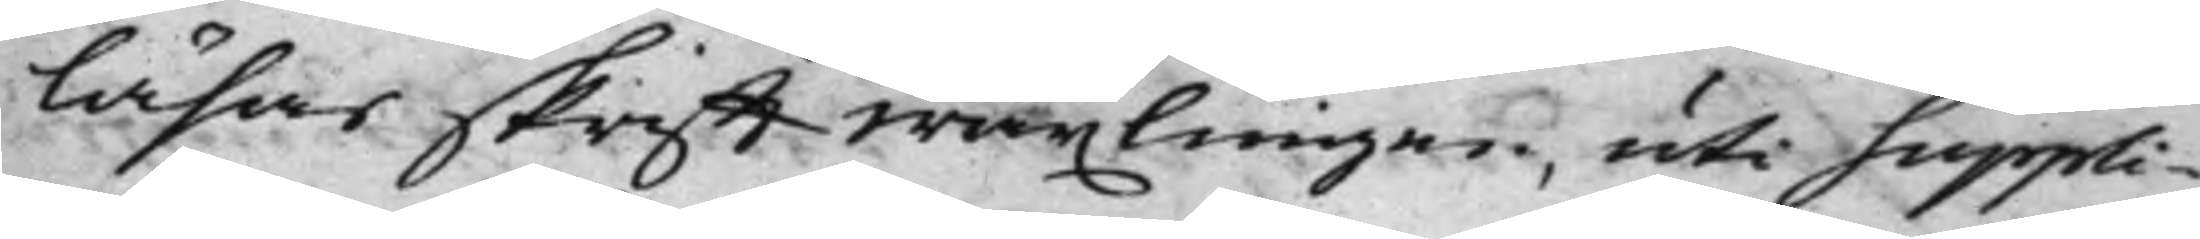läsas skrifftwäxlingen, uti suppli¬
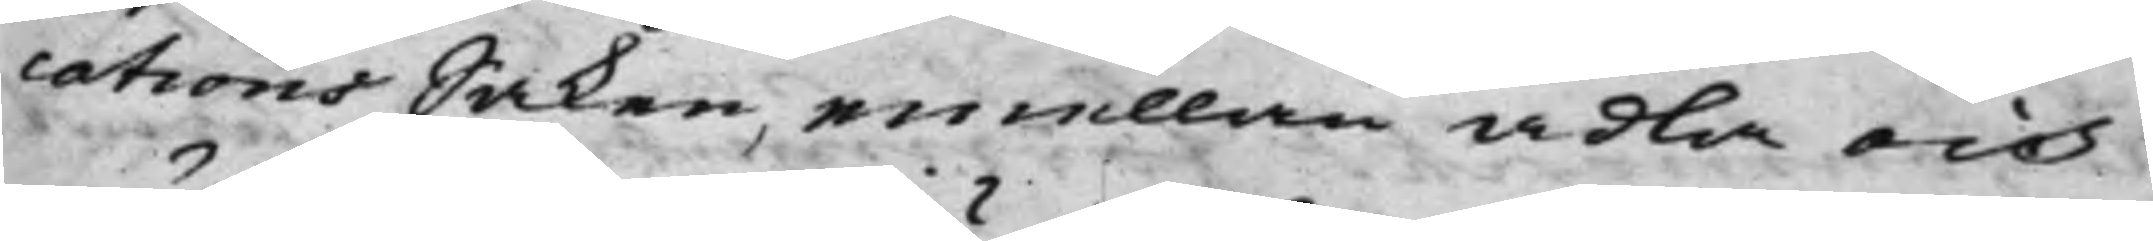cations Saken, emellan ädla och
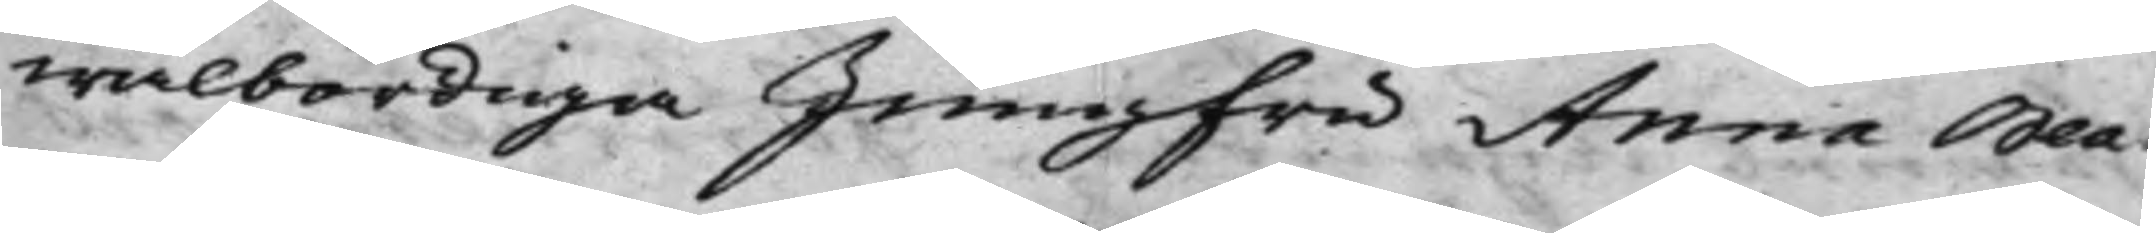wälbördiga Jungfru Anna Bea¬
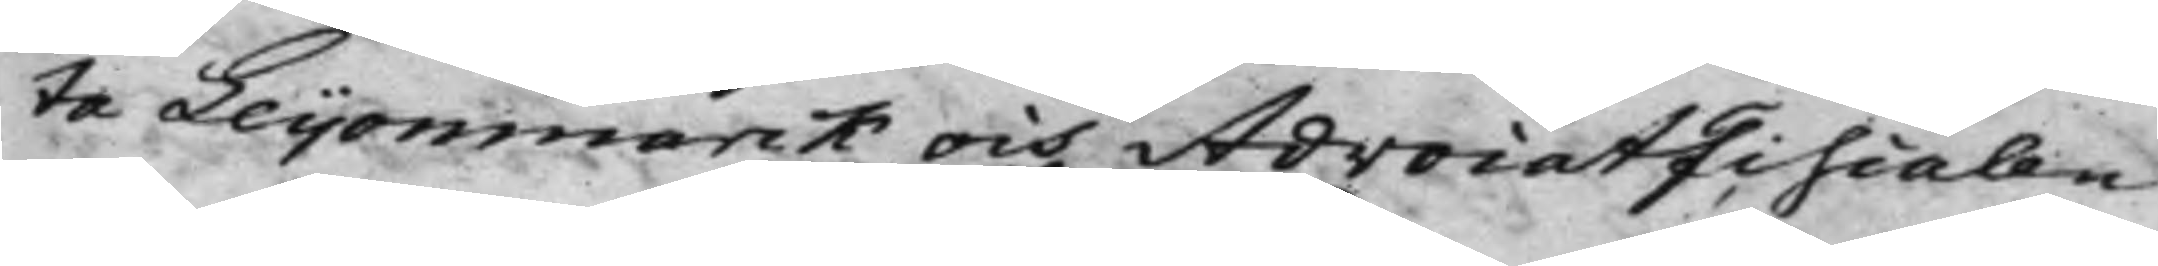ta Leijonmarck och AdvocatFiscalen
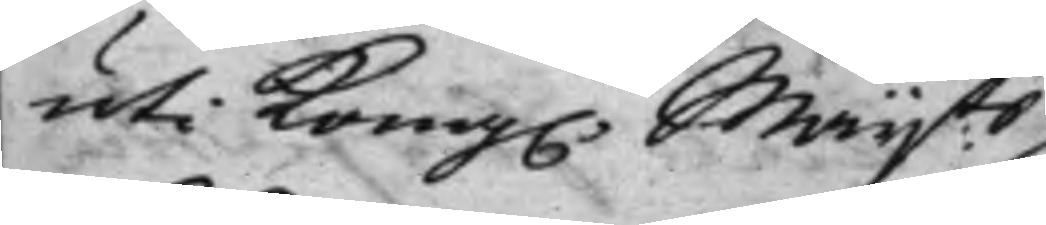uti Kong. Maijts
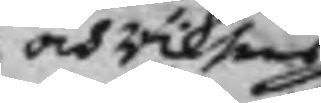och Riksens
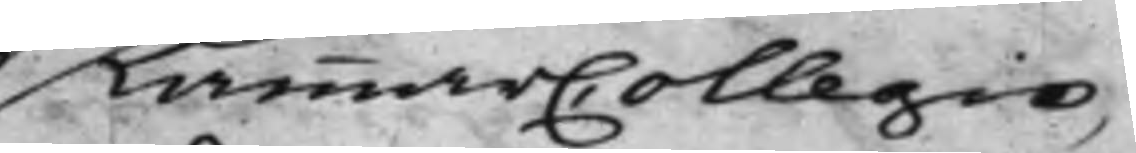KammarCollegio,
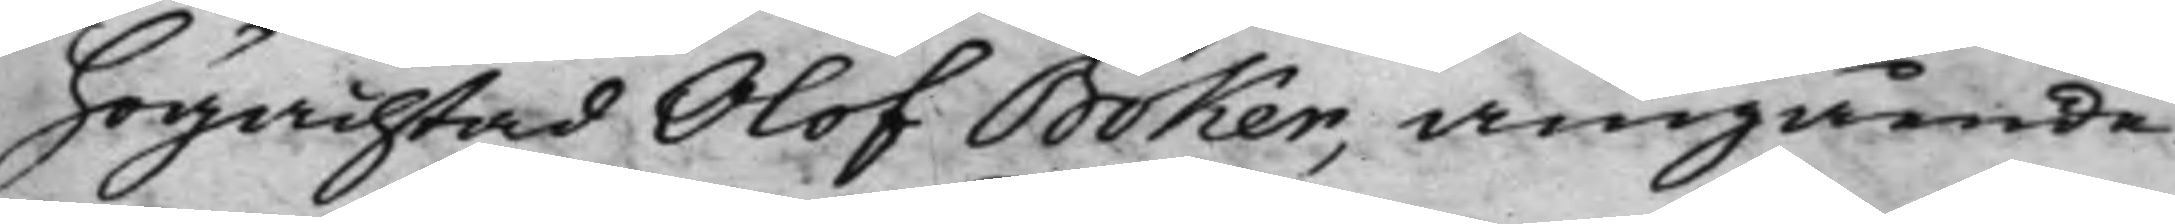högachtad Olof Böker, angående
